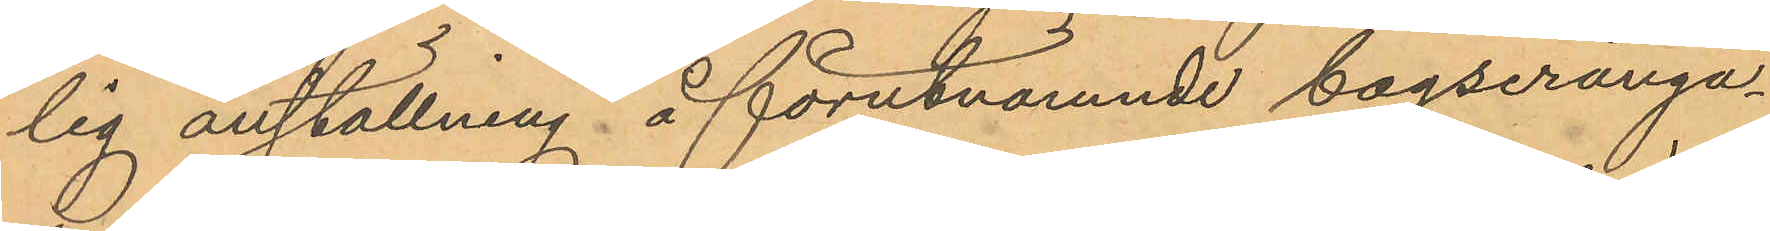lig anställning å förutnämnde bogserånga¬
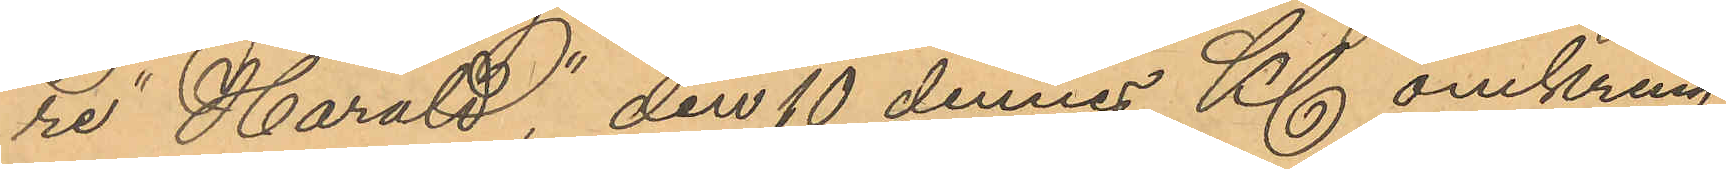re "Harald" den 10 dennes Kl. omkring
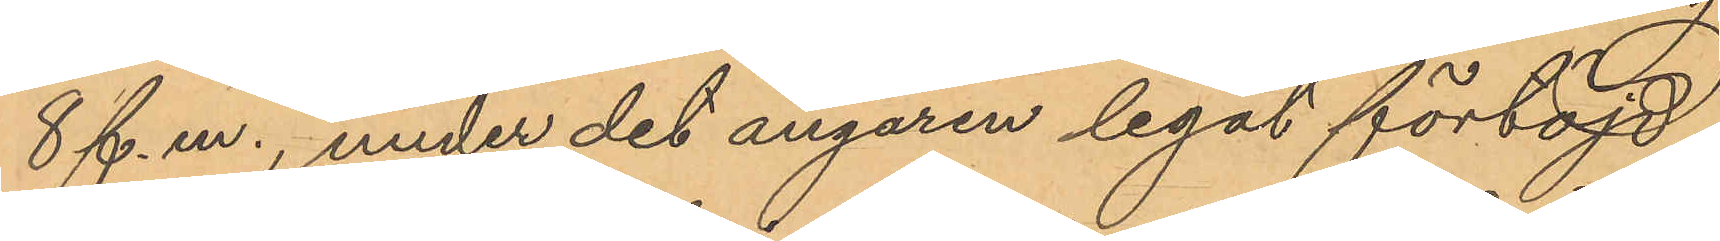8 f. m., under det ångaren legat förtöjd
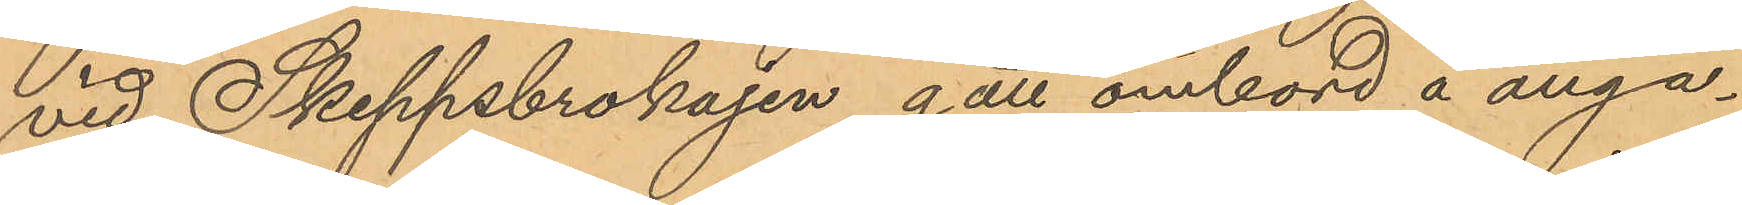vid Skeppsbrokajen gått ombord å ånga¬
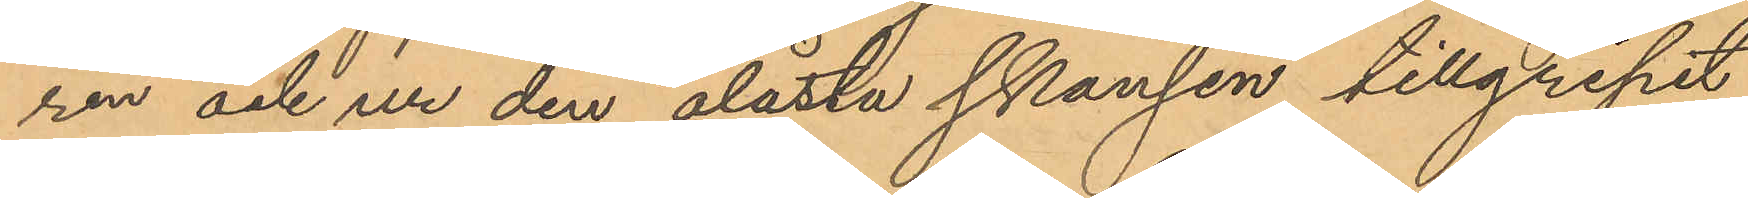ren och ur den olåsta skansen tillgripit
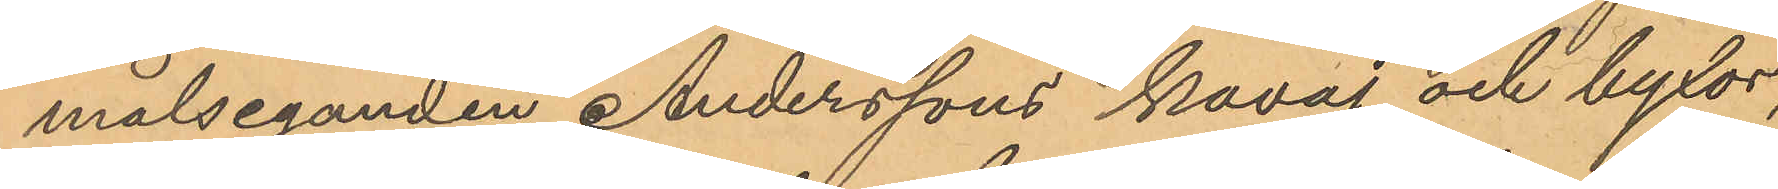målseganden Anderssons kavaj och byxor,
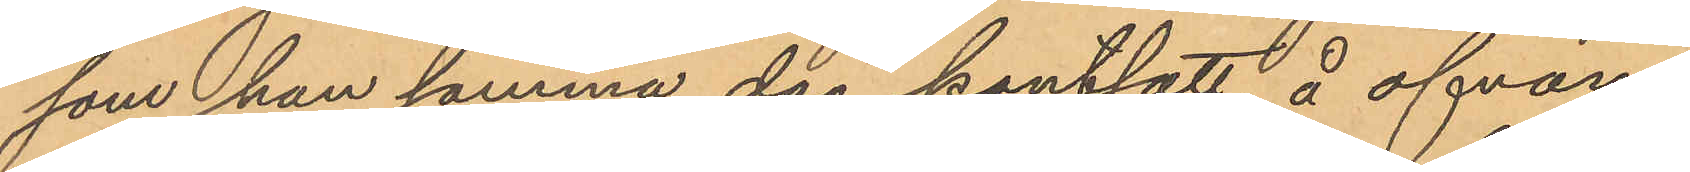som han samma dag pantsatt å ofvan¬
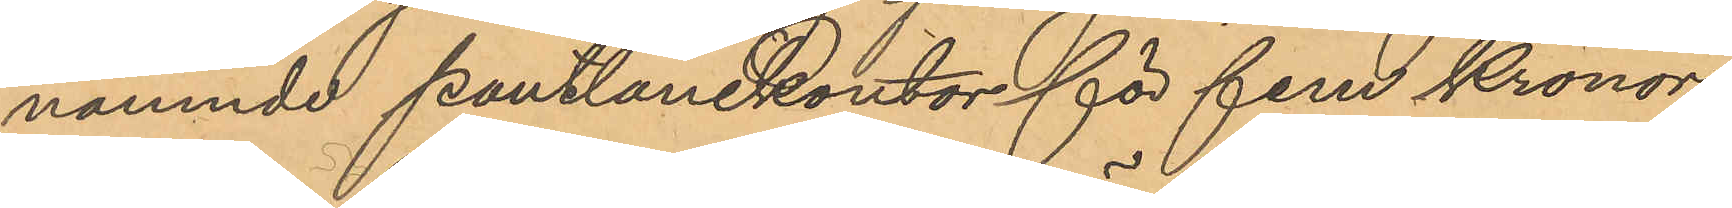nämnde pantlånekontor för fem Kronor,
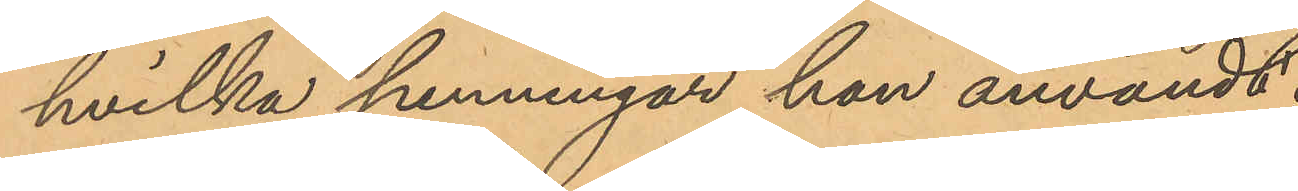hvilka penningar han användt.
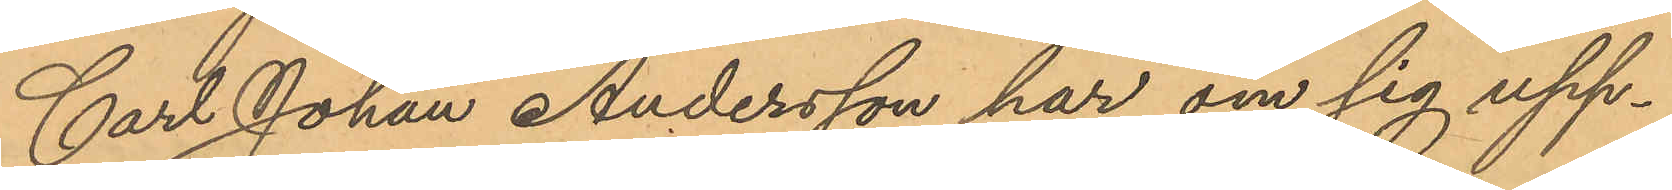Carl Johan Andersson har om sig upp¬
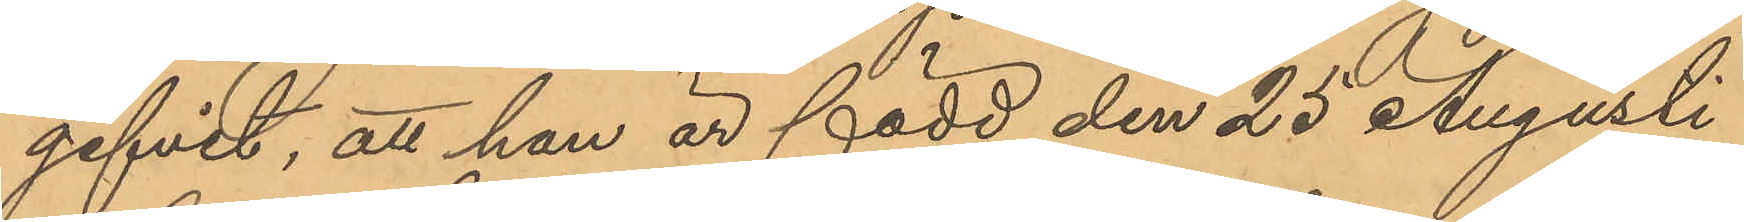gifvit, att han är född den 25 Augusti
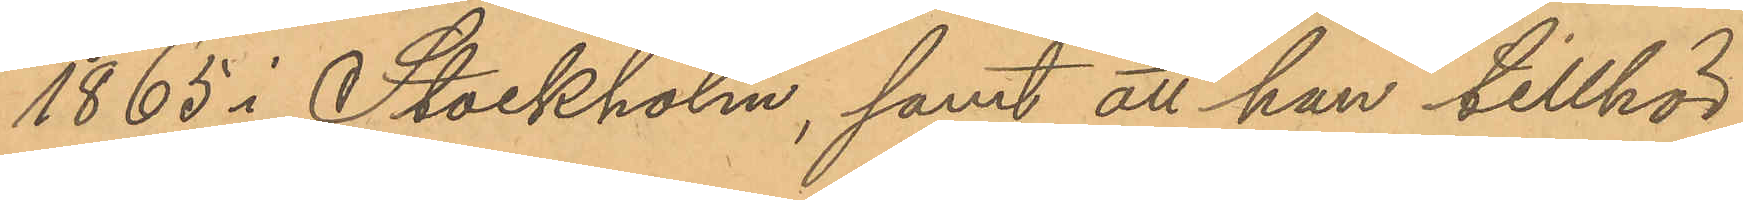1865 i Stockholm, samt att han tillhör
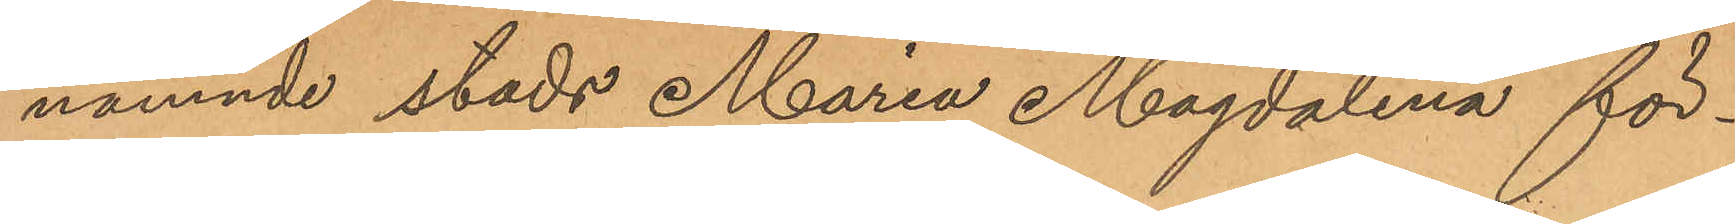nämnde stads Maria Magdalena för¬
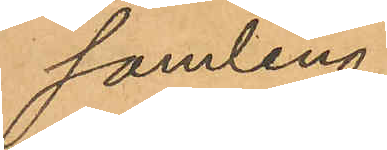samling.
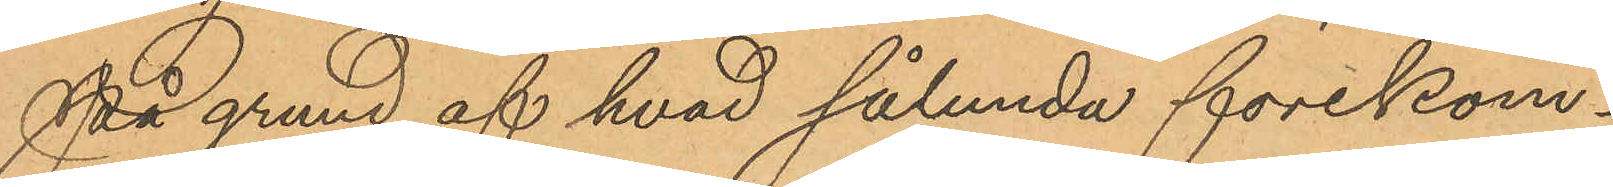På grund af hvad sålunda förekom¬
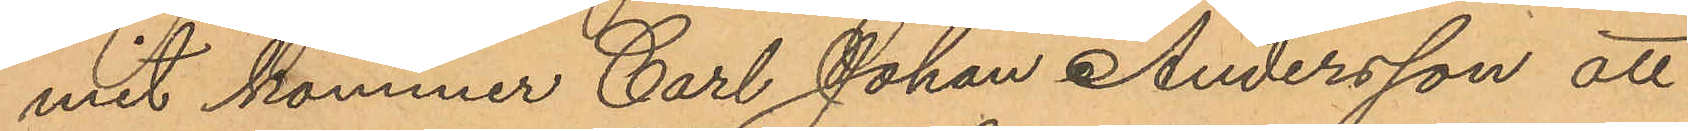mit kommer Carl Johan Andersson att
